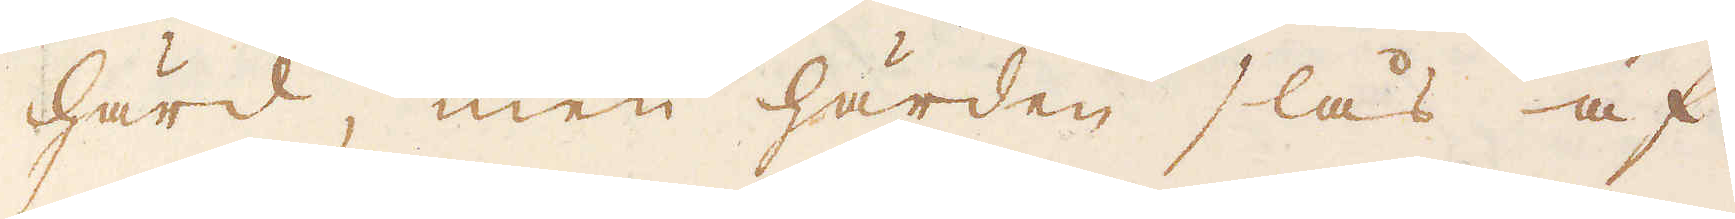härd, men härden slås af
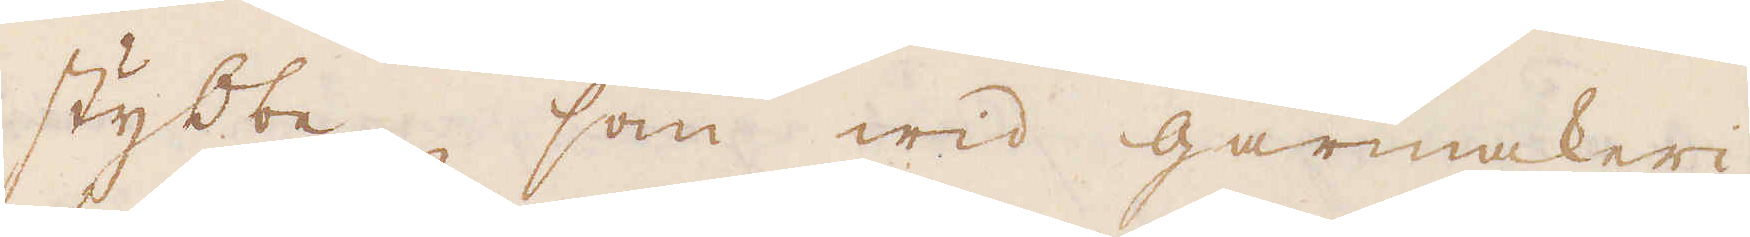stybbe, som wid gårmakeri
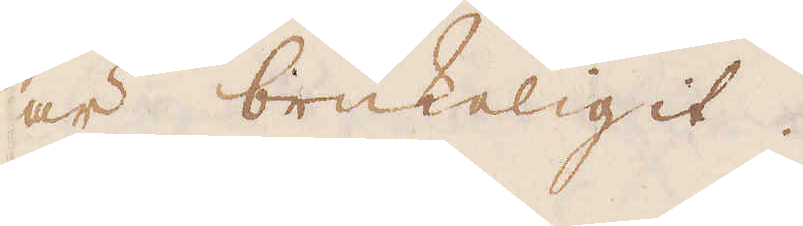är brukeligit.
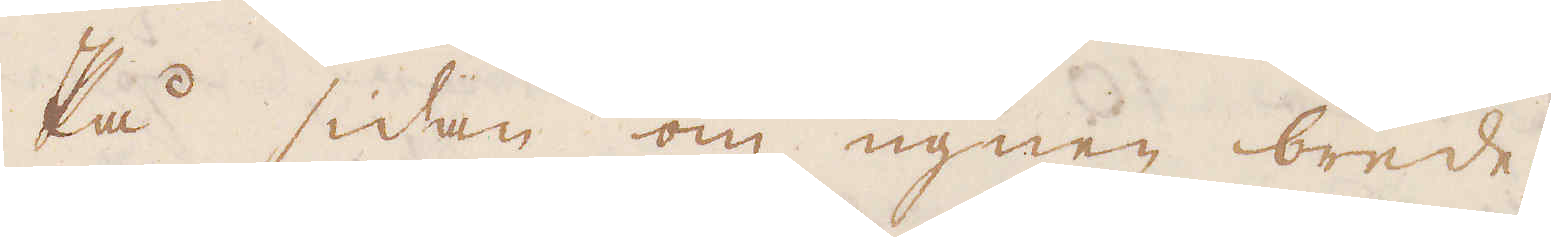På sidan om ugnen brede-
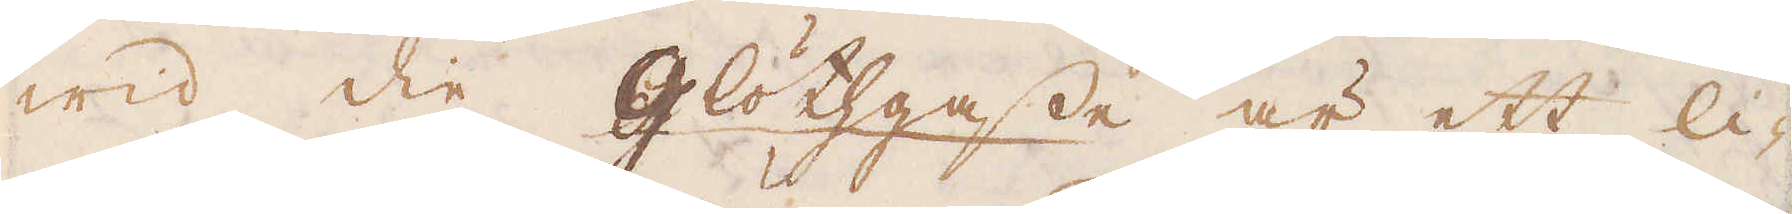wid die glöthgasse är ett li-
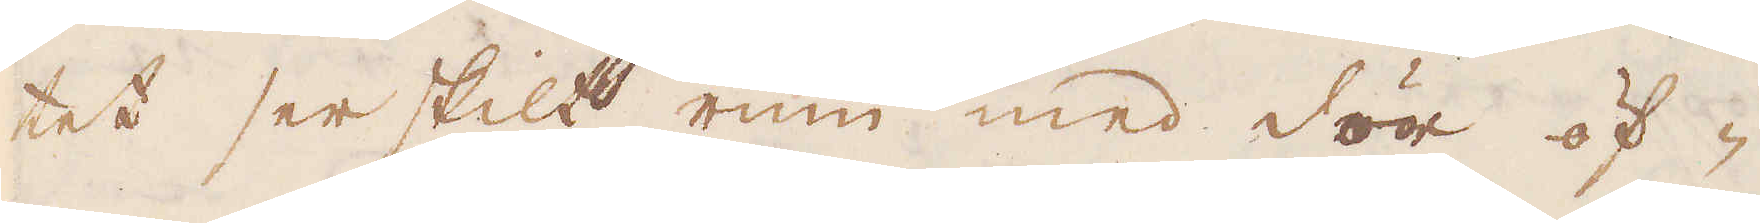tet serskilt rum med dör öf-
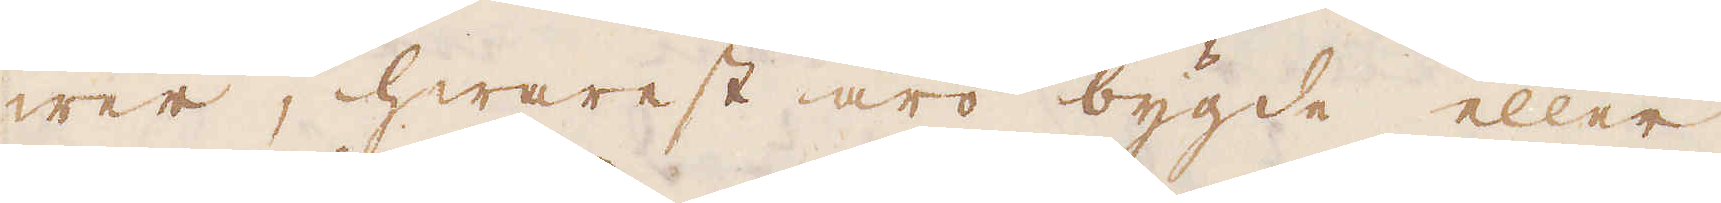wer, hwarest äro bygde eller
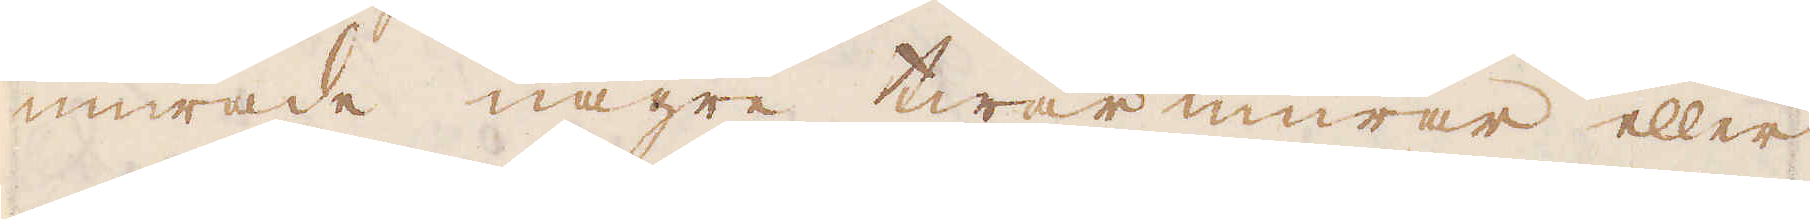murade någre twär murar eller
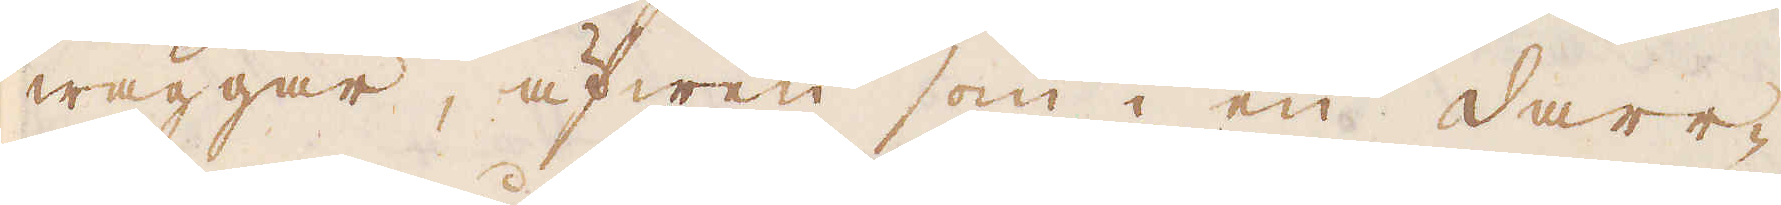wäggar, äfwen som i en darr-
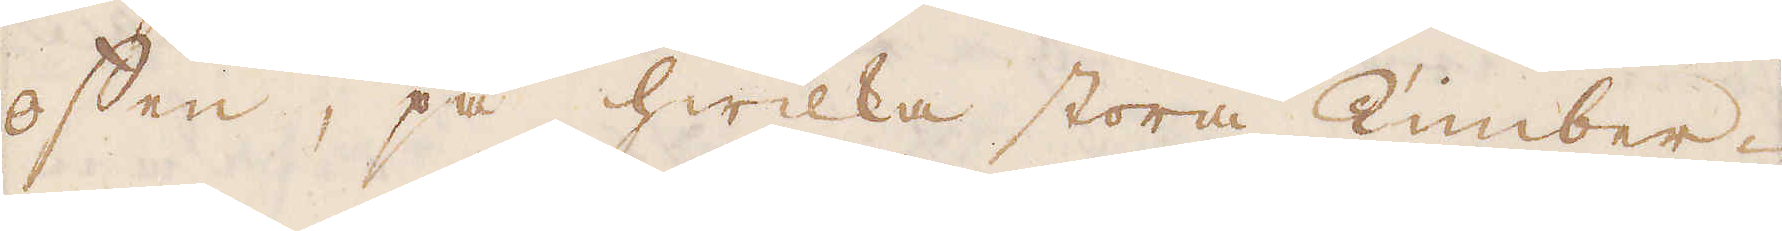offen, på hwilka stora Timber-
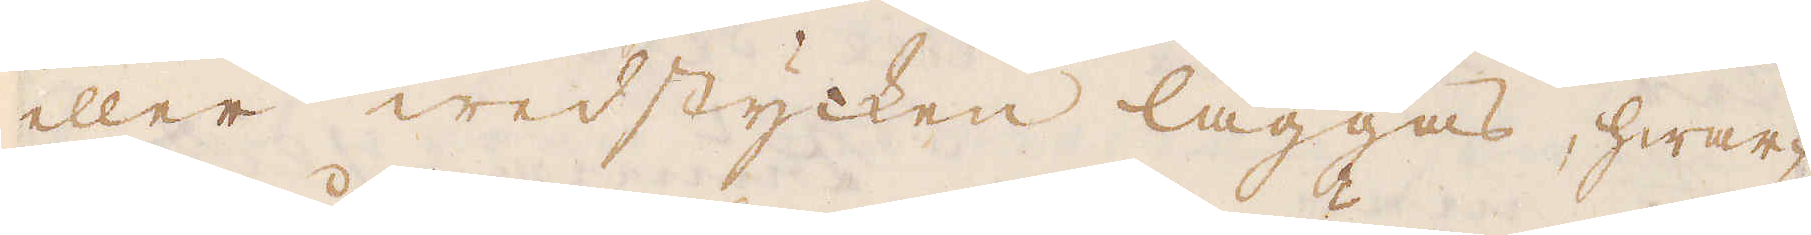eller wedstycken läggas, hwar-
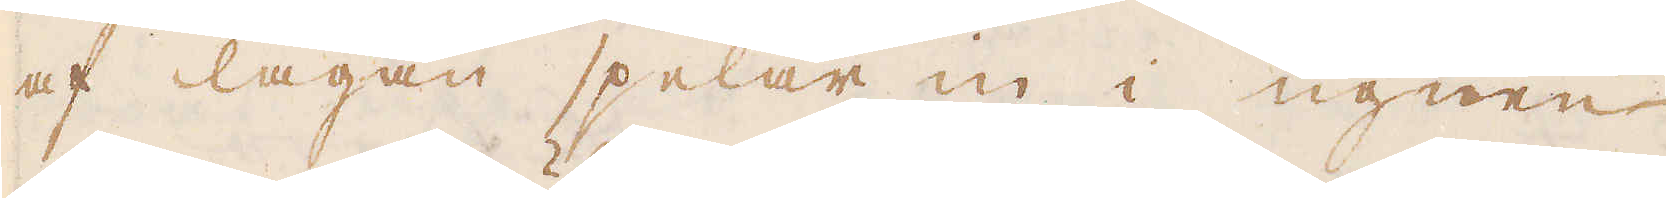af lågan spelar in i ugnen
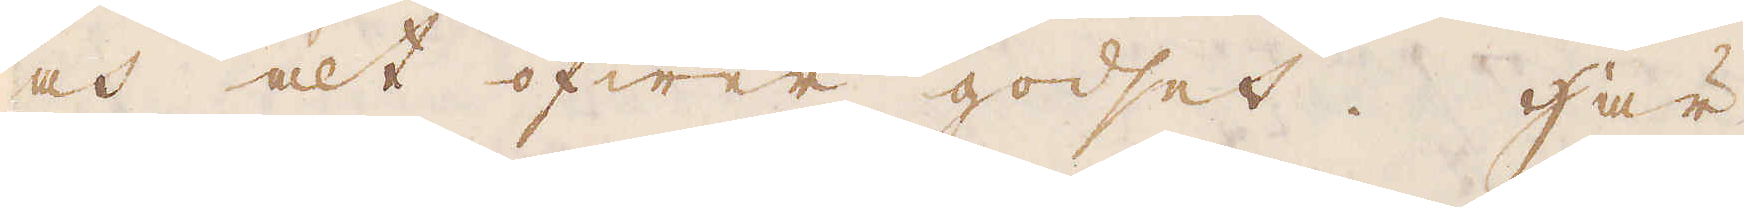och alt öfwer godset. Här
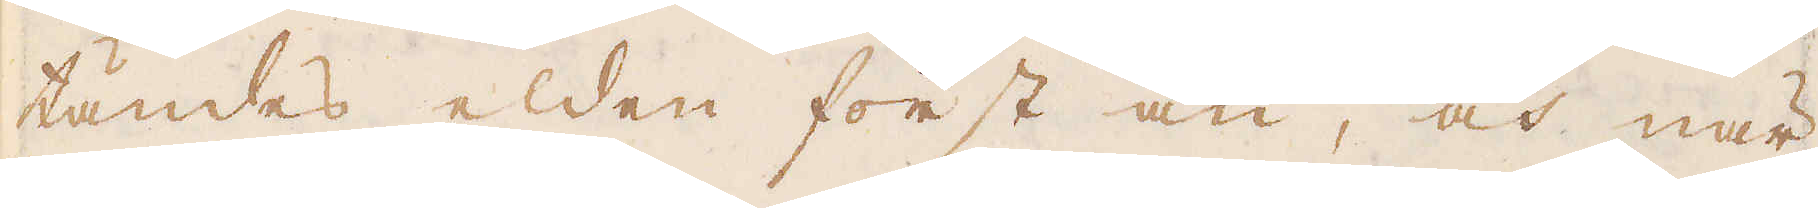tändes elden först an, och när
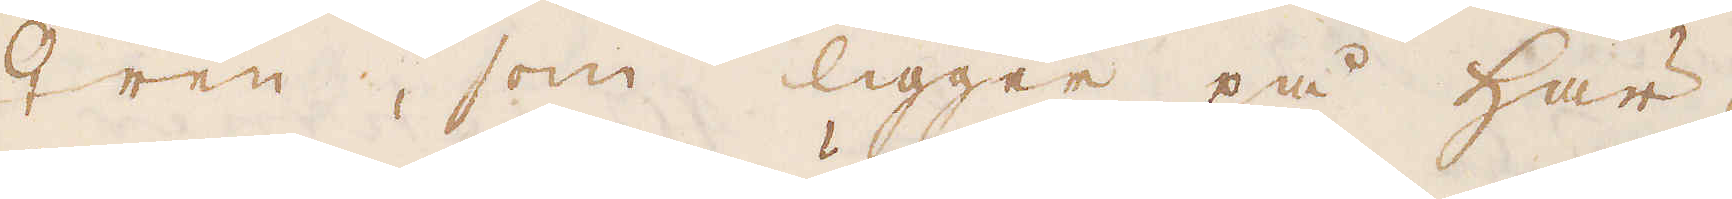♀ren, som ligger på här-
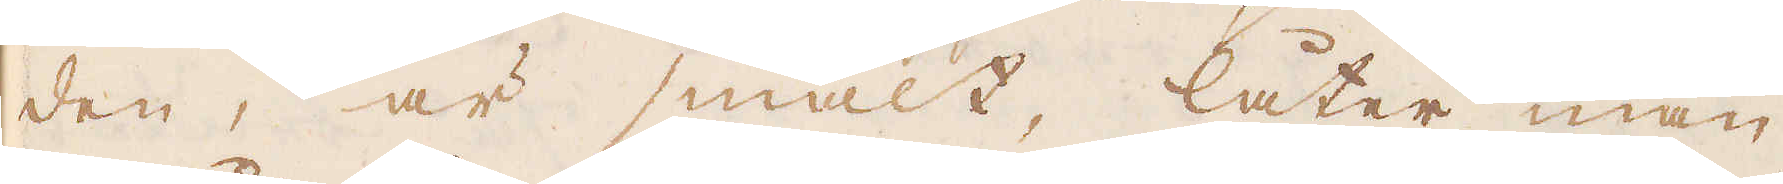den, är smält, låter man
